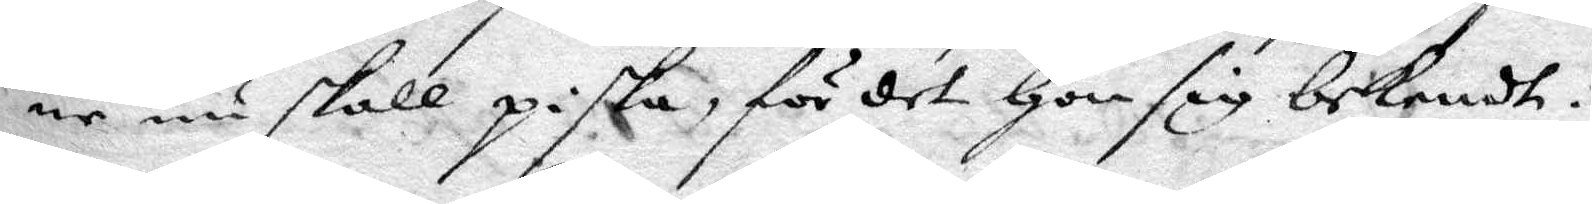ne nu skall piska, för det hon sig bekendt.
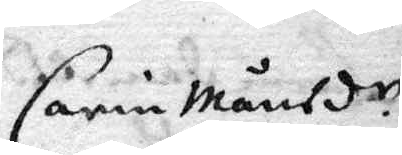Carin Månsd.r
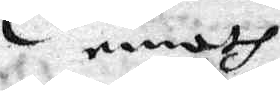emoth
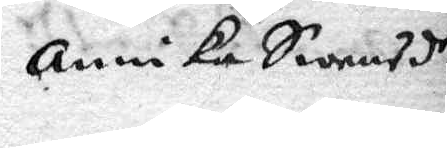annika Swensdr
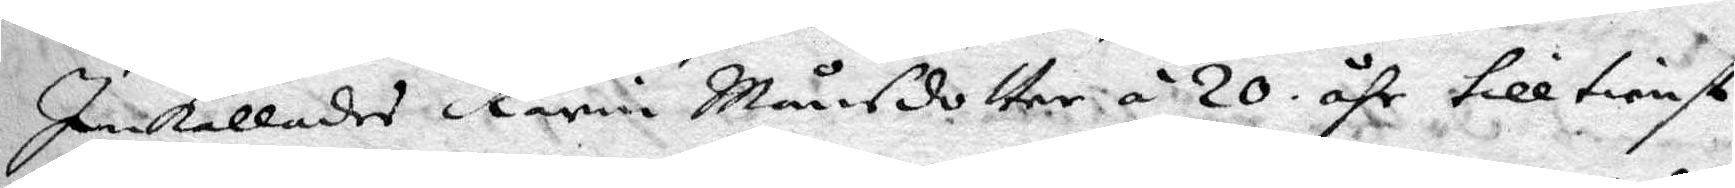Inkallades Karin Månsdotter á 20 åhr till tienst
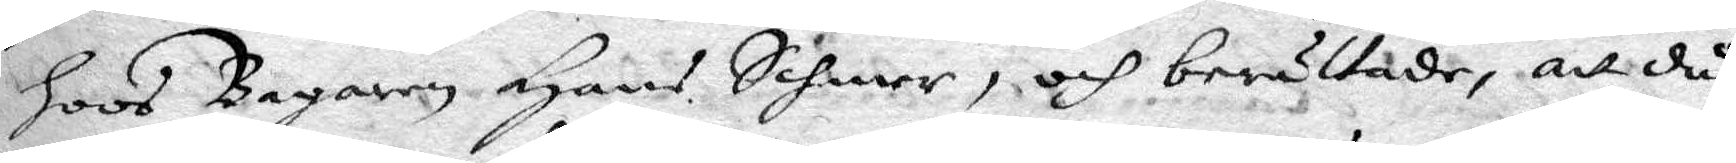hoos Bagaren Hans Schmer, och berättade, att då
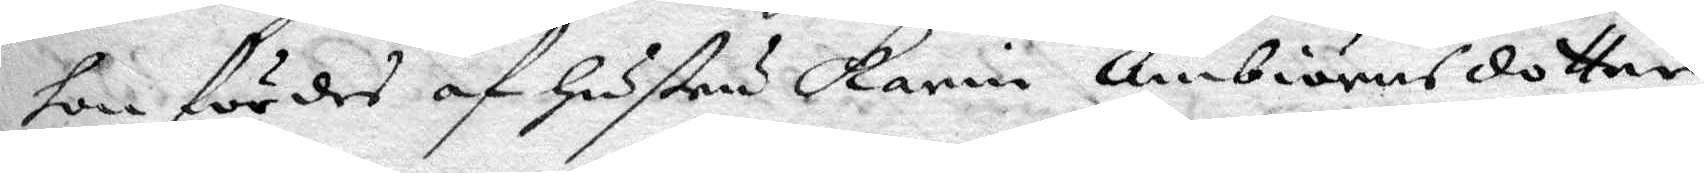hon fördes af hustru Karin Ambiörnsdotter,
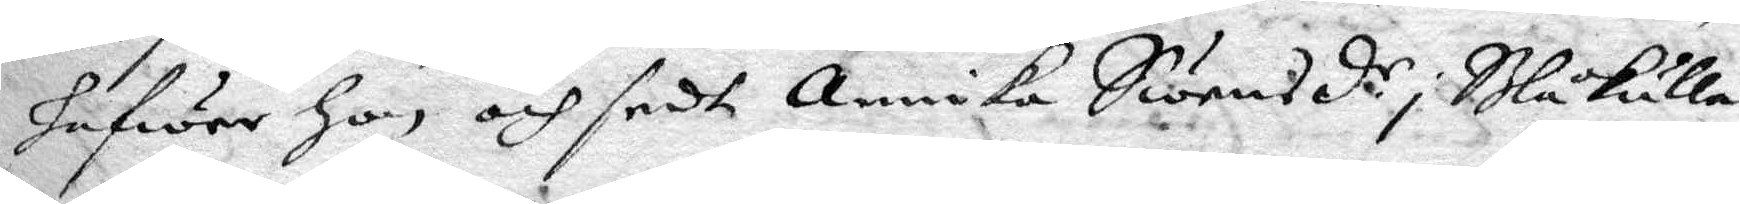hafwer hon och sedt Annika Swensd.r i Blåkulla
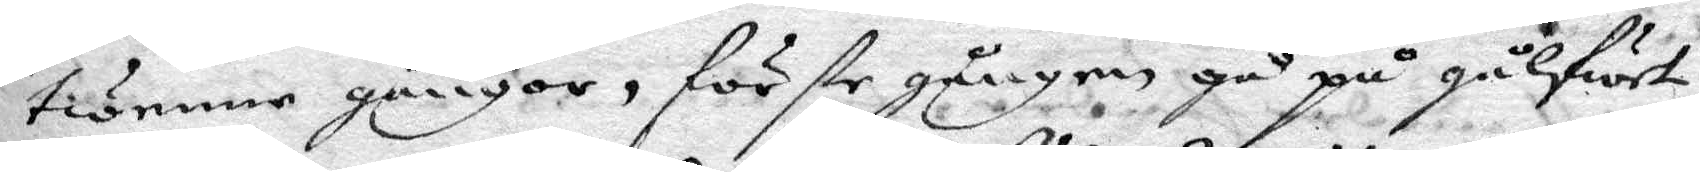twenne gånger, förste gången gå på gålfwet
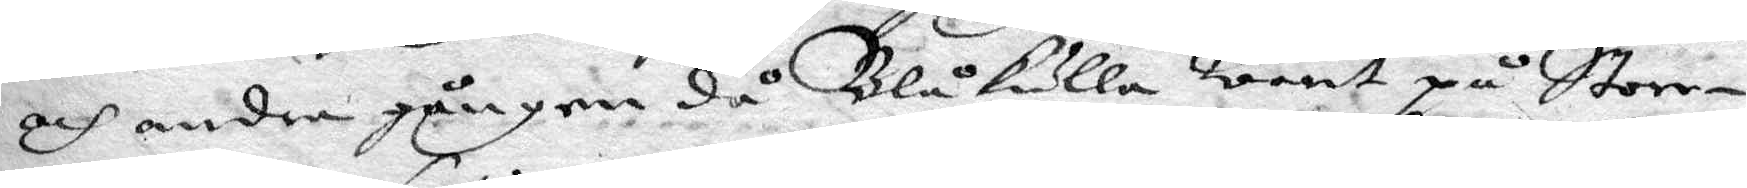och andra gången då Blåkulla warit på Store¬
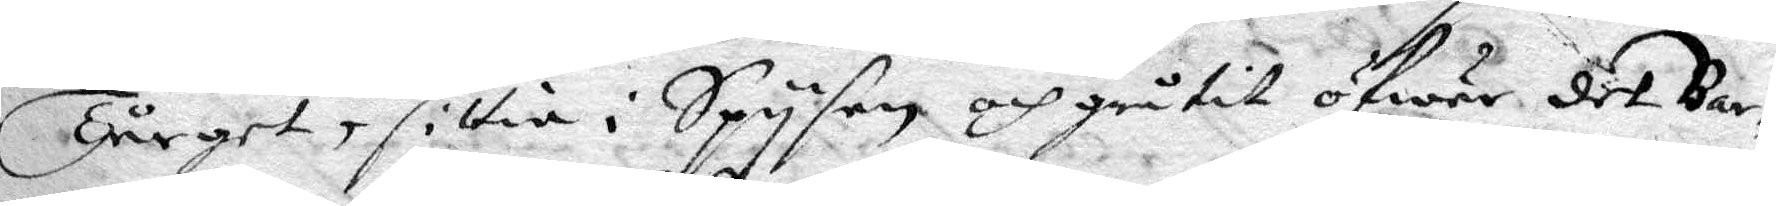Tårget, sittia i Spysen och gråtit öfwer det Bar¬
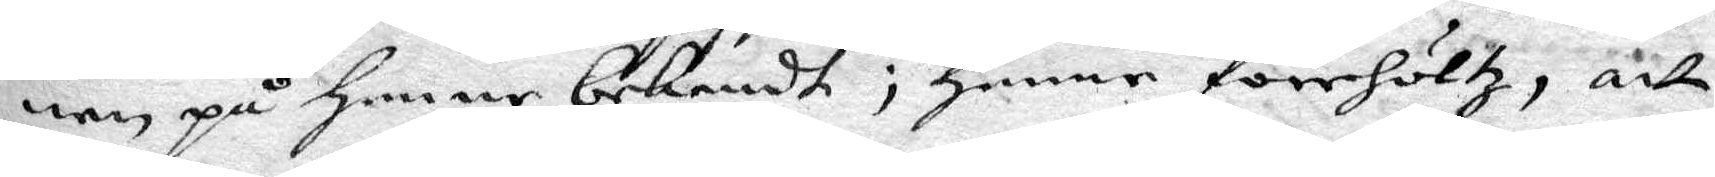nen på henne bekendt; henne förehöktz, att
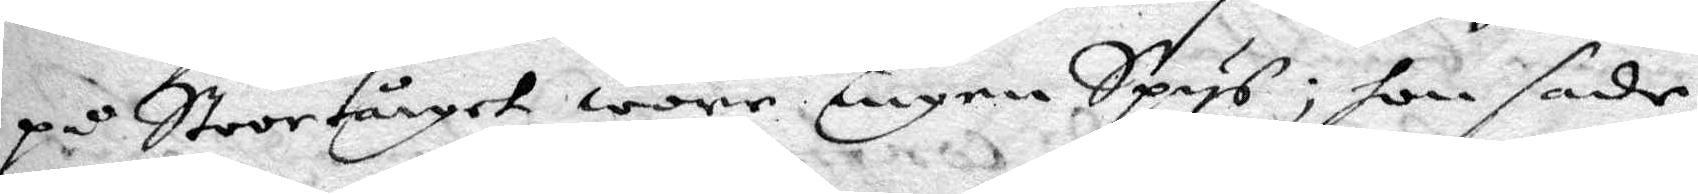på Stoortårget wore ingen Spys; hon sade
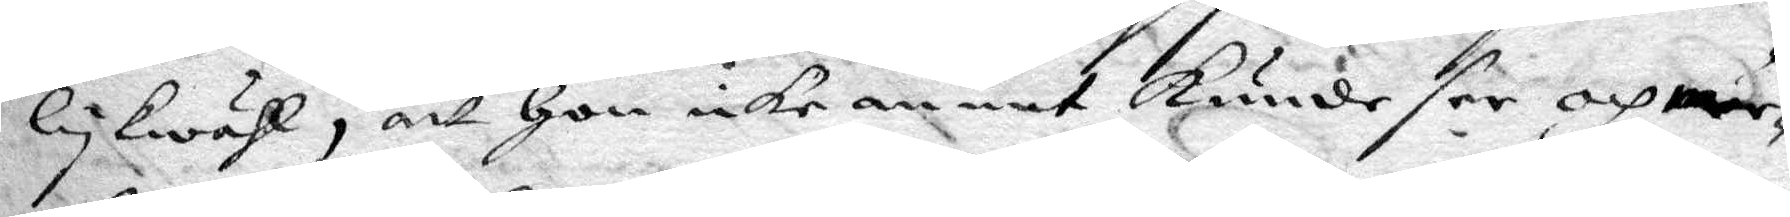lykwähl, att hon icke annat kunde see och mär¬
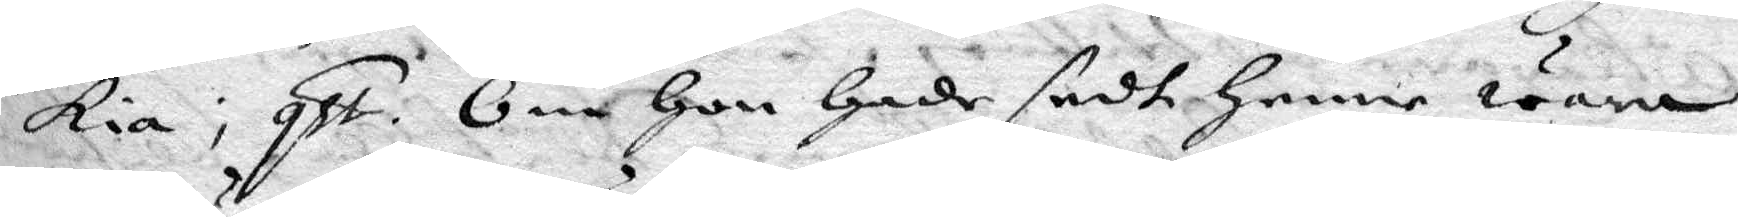kia; qst. Om hon hade sedt henne wara
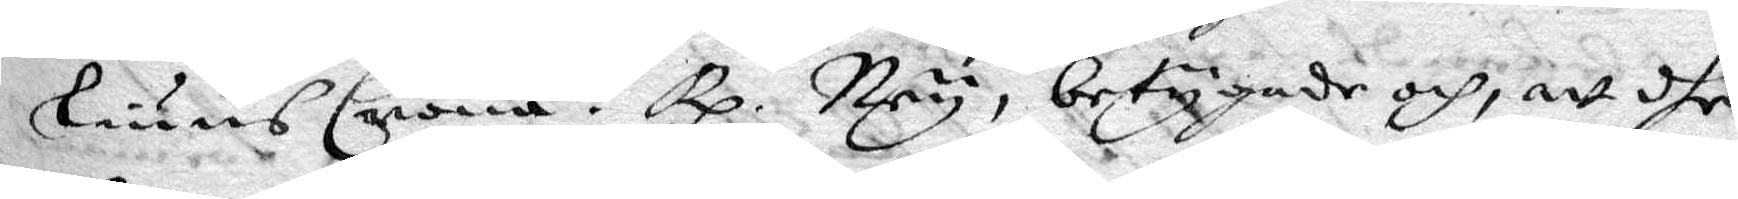liuusCrona? Rp. Ney, betygade och, att dhe
